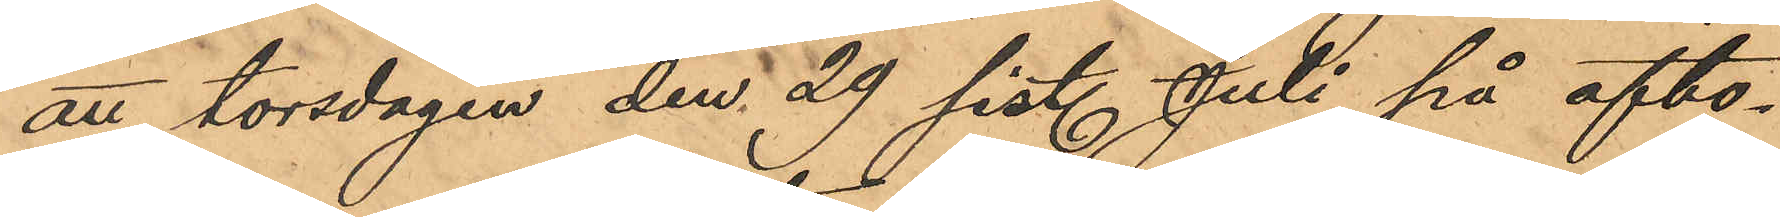att torsdagen den 29 sist. Juli på afto¬
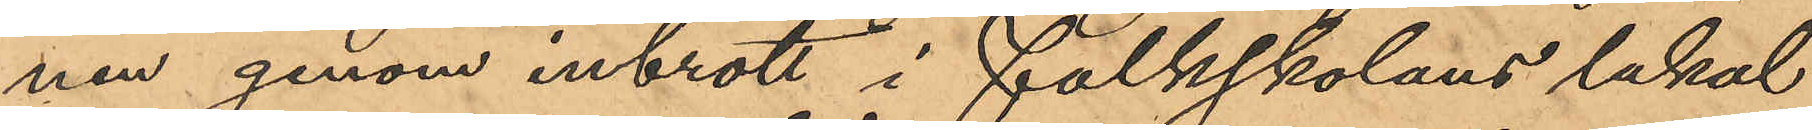nen genom inbrott i folkskolans lokal
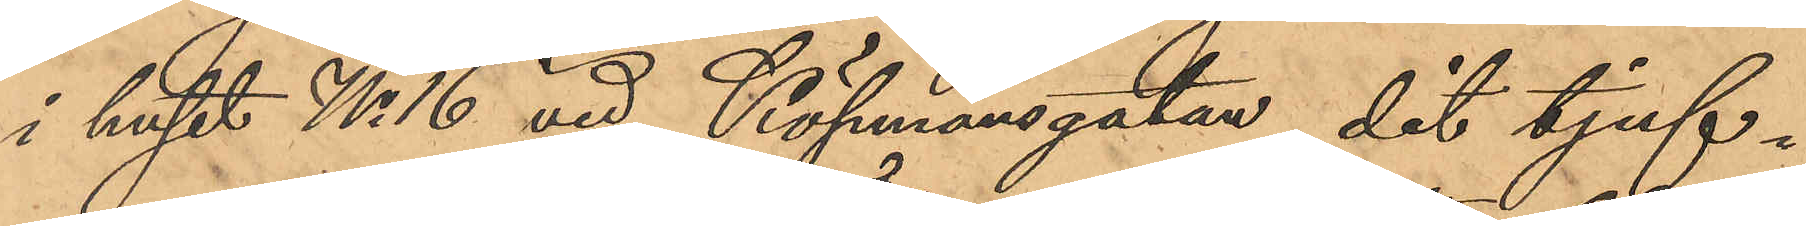i huset No 16 vid Köpmansgatan, dit tjuf¬
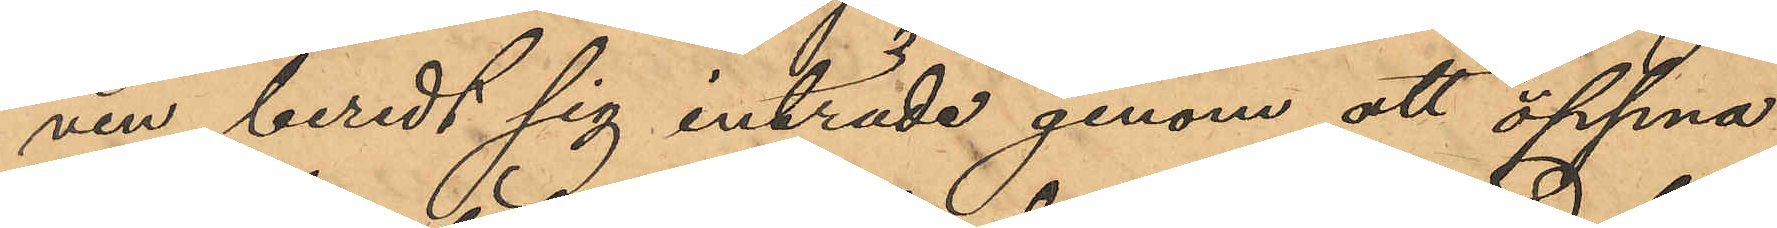ven beredt sig inträde genom att öppna
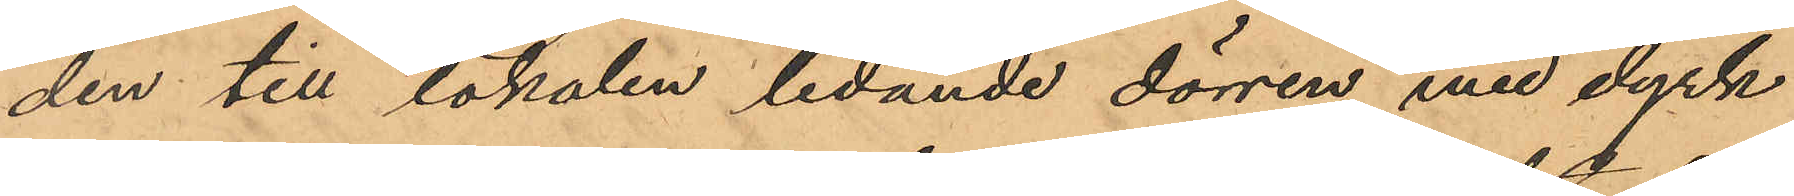den till lokalen ledande dörren med dyrk
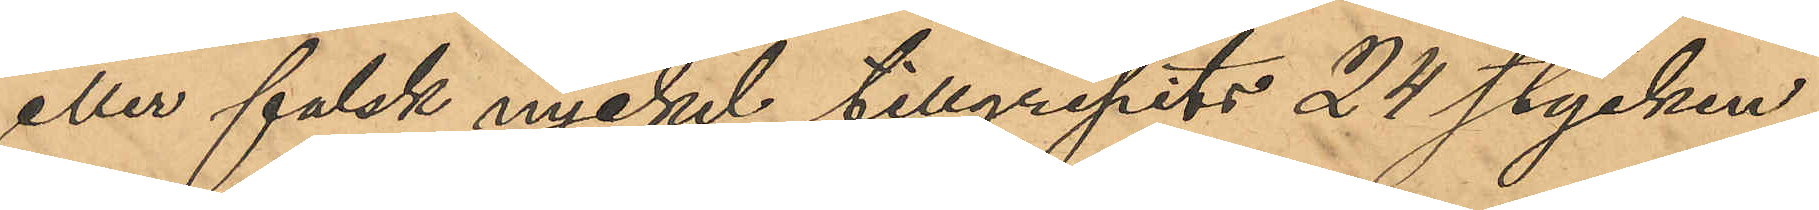eller falsk nyckel tillgripits 24 stycken
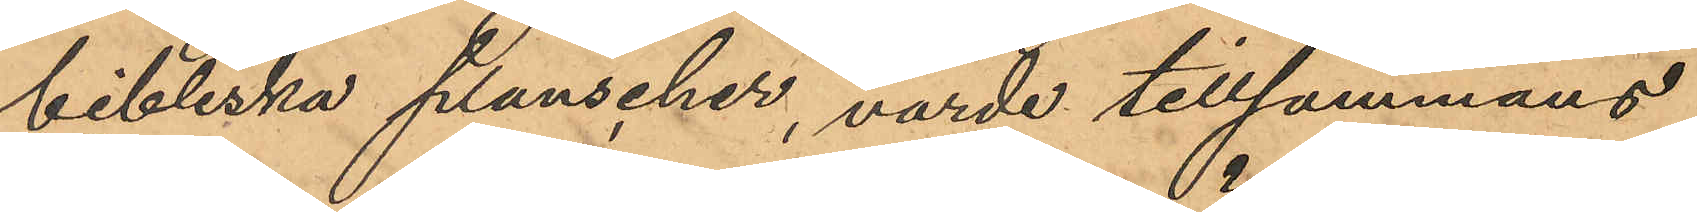bibliska planscher, värde tillsammans
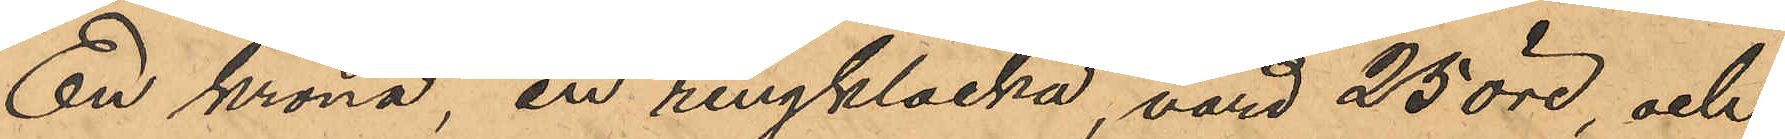En krona, en ringklocka, värd 25 öre, och
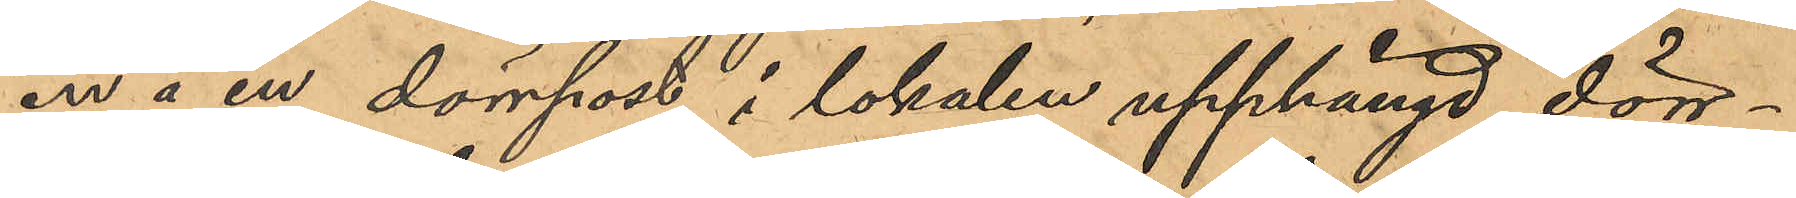en å en dörrpost i lokalen upphängd dörr¬
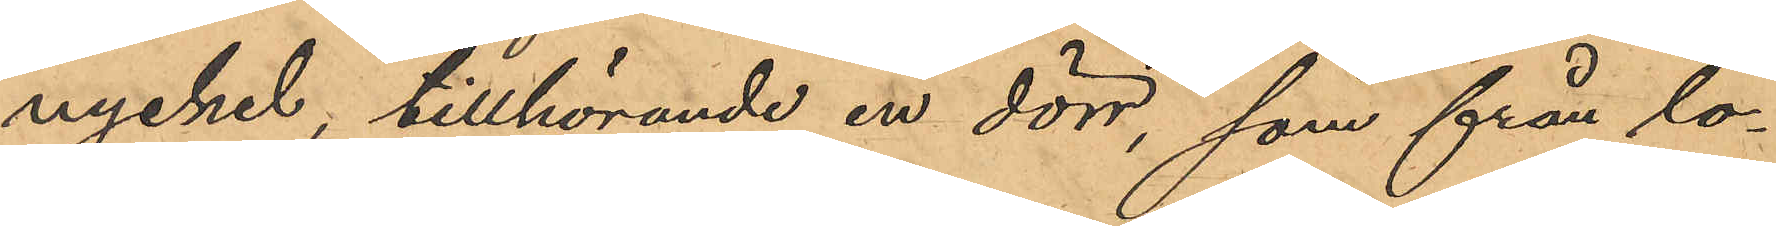nyckel, tillhörande en dörr, som från lo¬
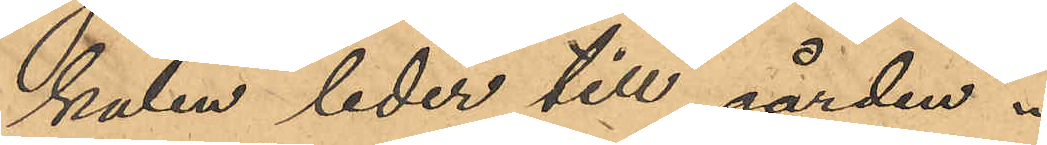kalen leder till gården.
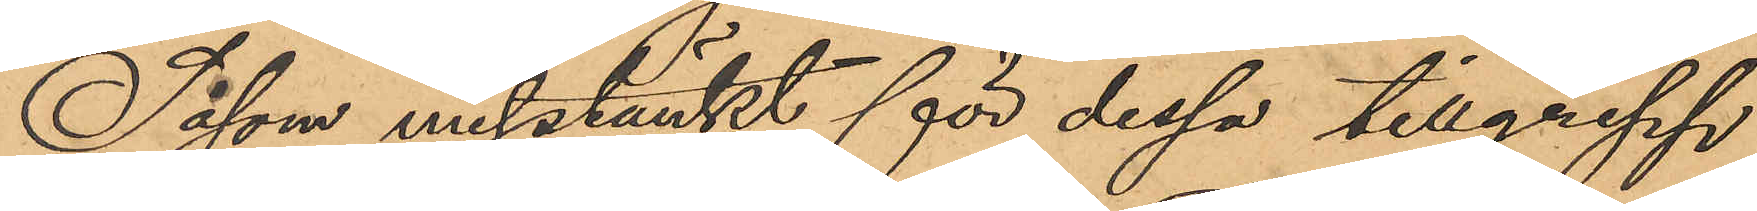Såsom misstänkt för dessa tillgrepp
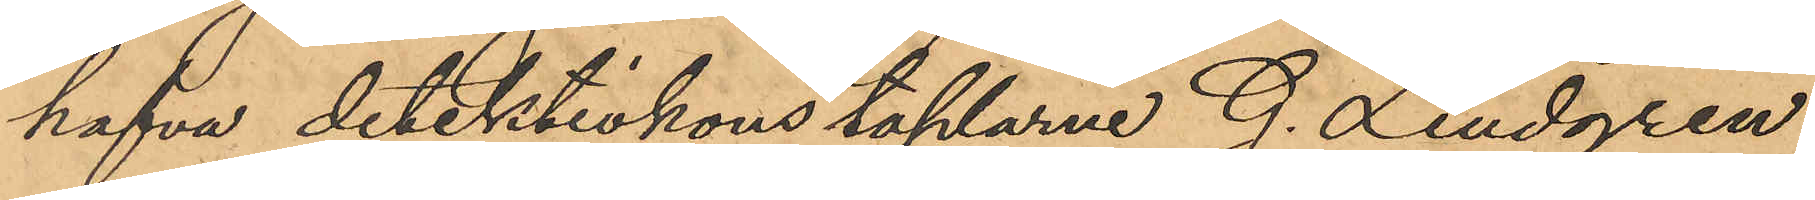hafva detektivkonstaplarne G. Lindgren
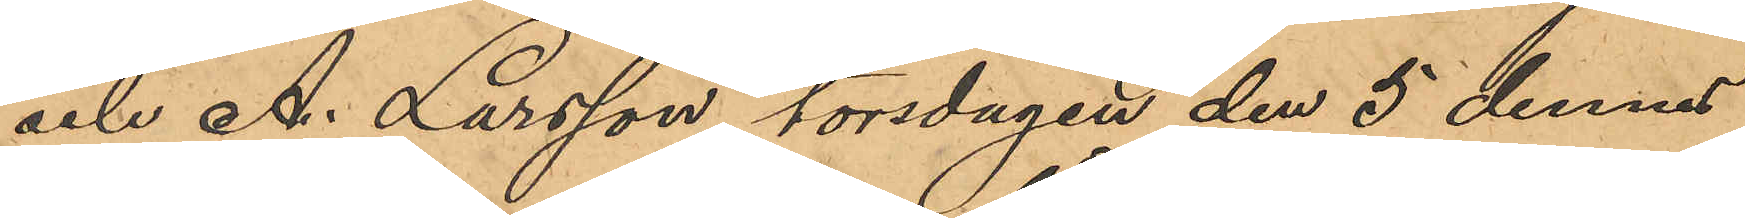och A. Larsson torsdagen den 5 dennes
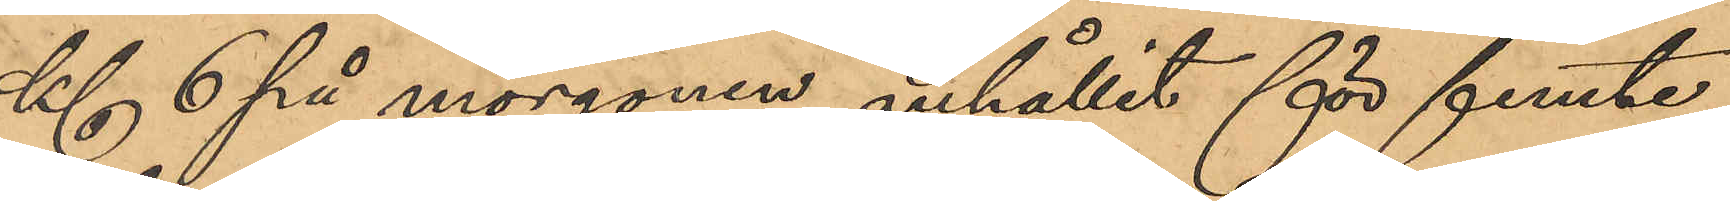Kl 6 på morgonen anhållit för femte
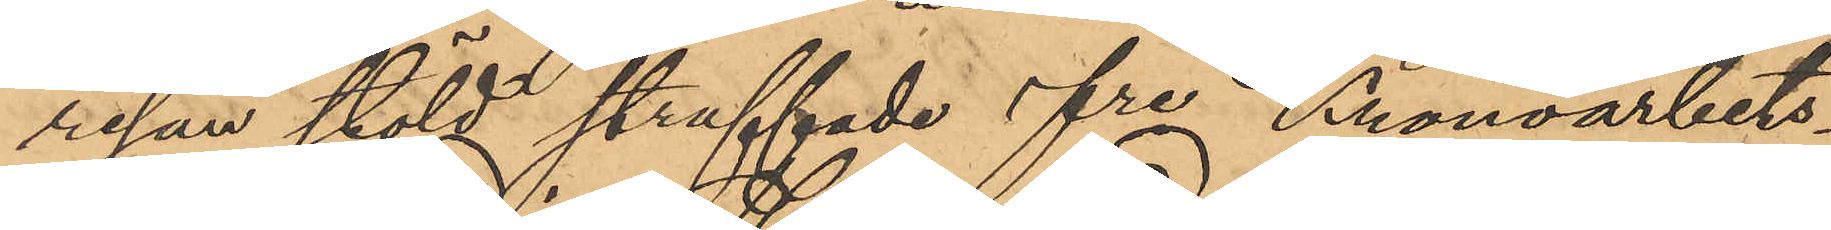resan stöld straffade fre Kronoarbets¬
